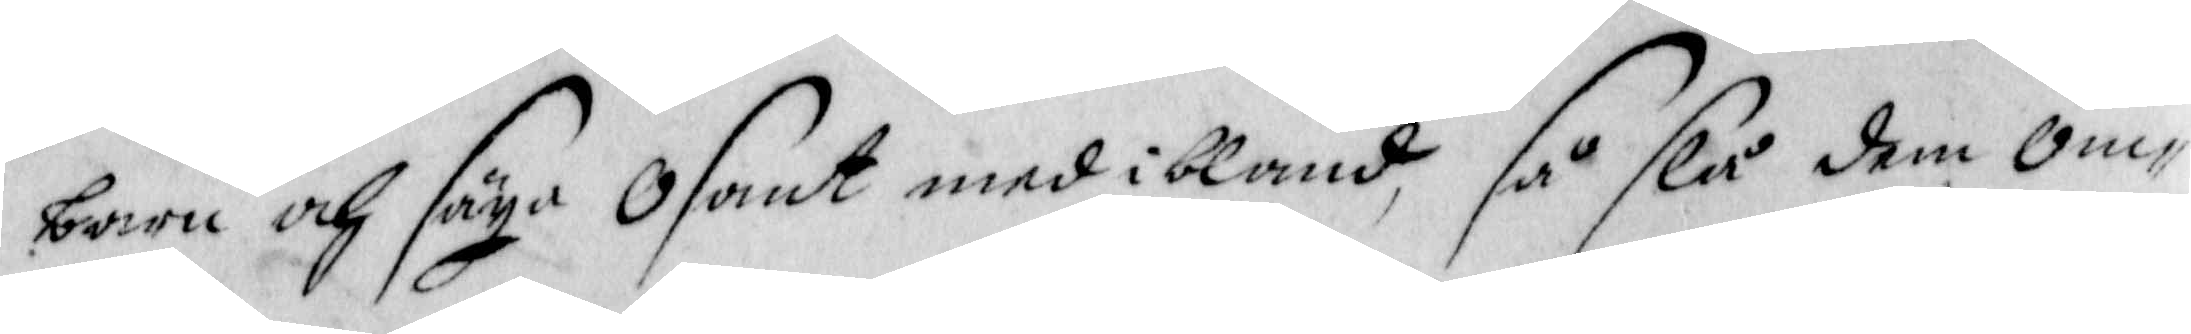barne och säya Osant med ibland, så slå dem om¬
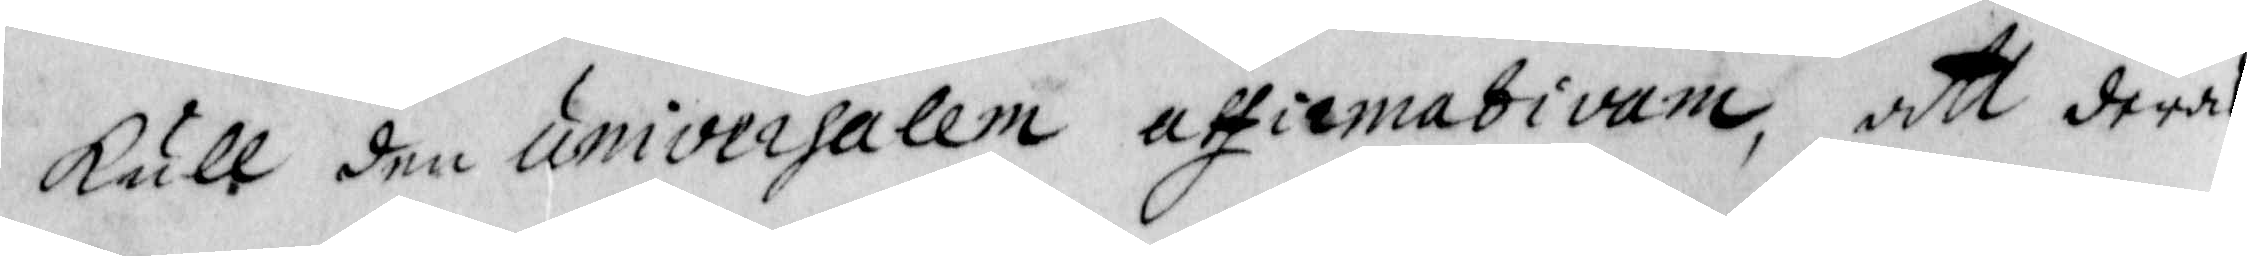kull den umiversalem athirmativam, att deras
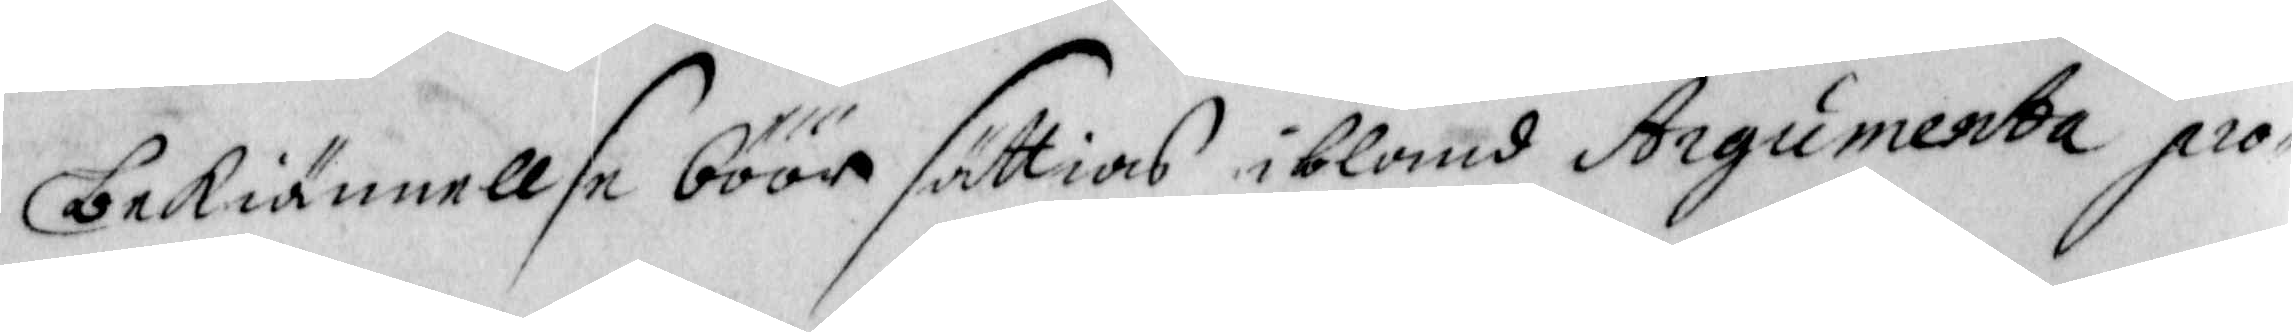bekiännellse böör sättias ibland Argumenta pro¬
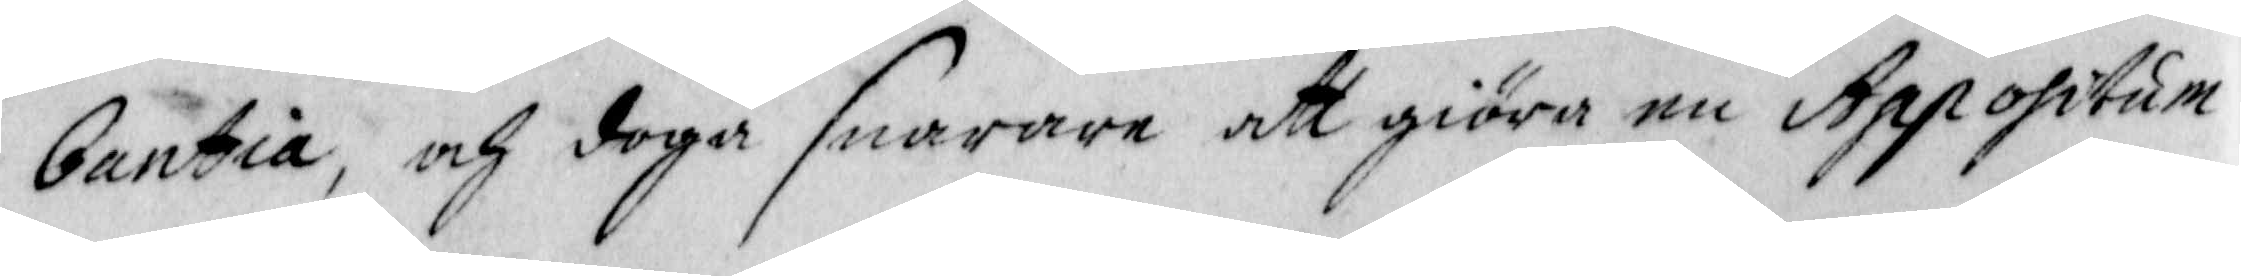bantia, och doga snarare att giöra en Appofitum
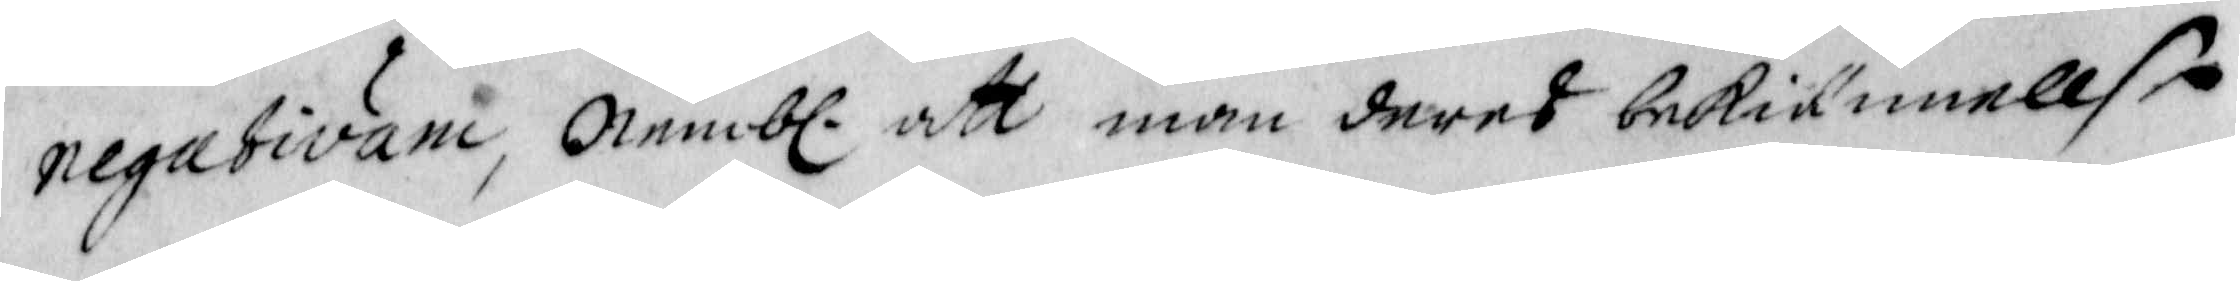negativam, nembl. att man deras bekiännellse
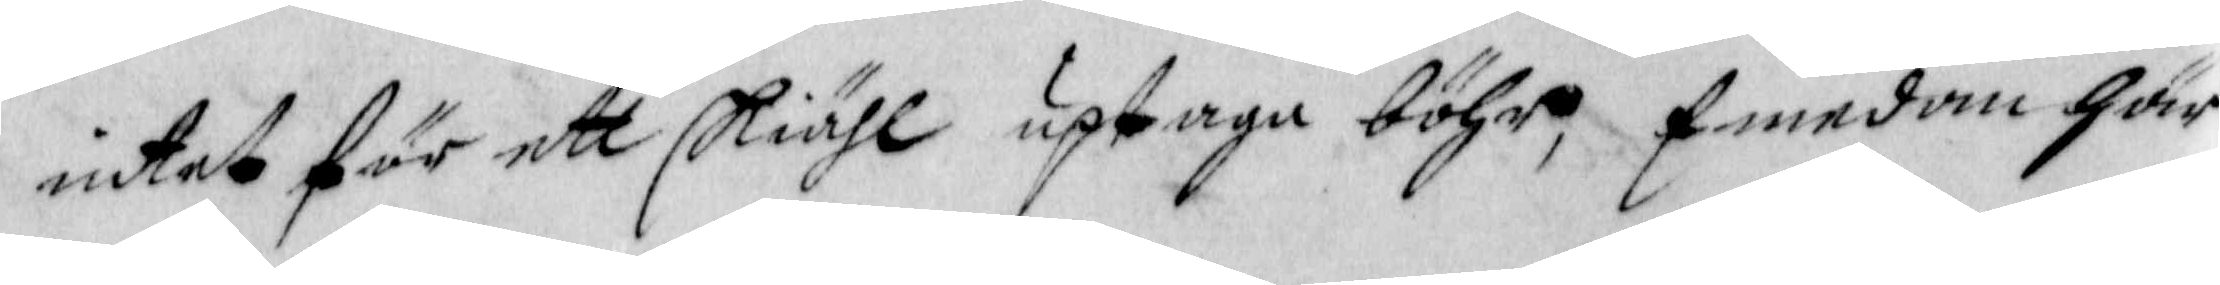intet för ett skiähl uptaga böhr, Emedan här
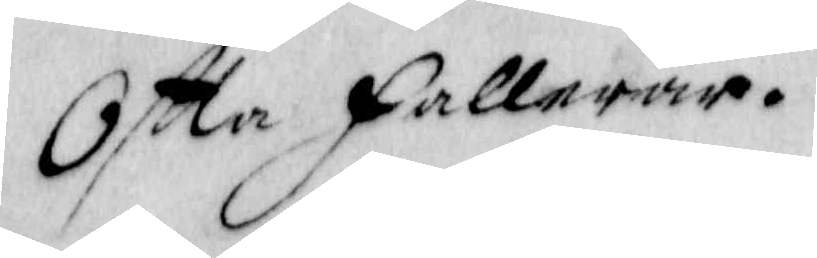Oftta fallerar.
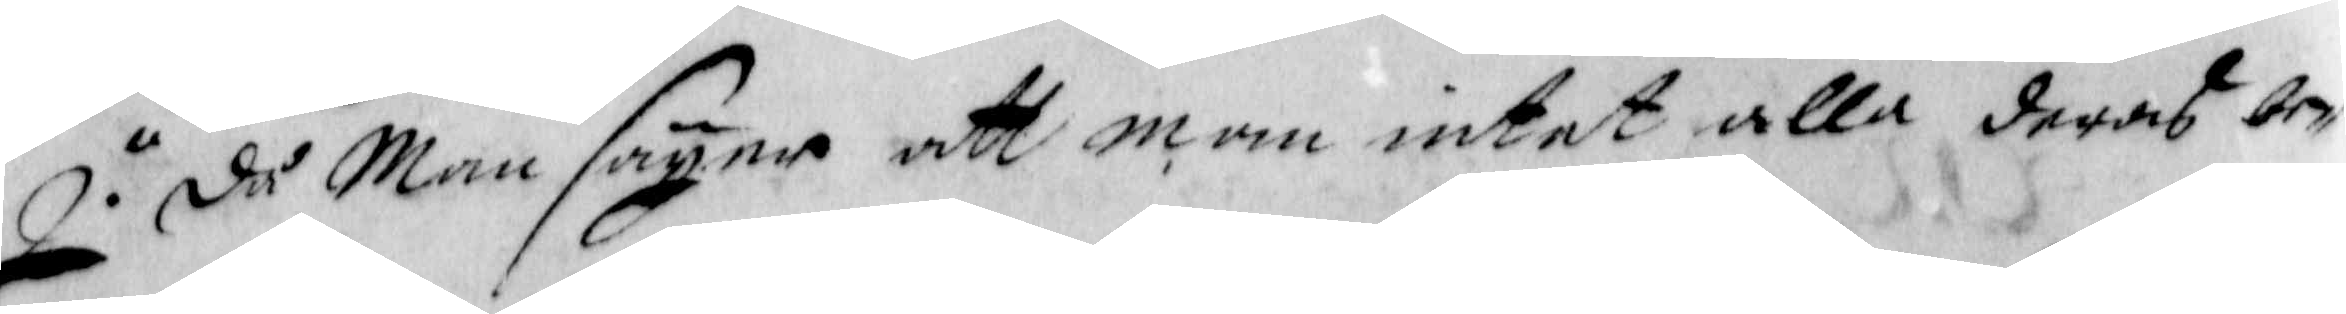2. då Man säyer att man intet alla deras be¬
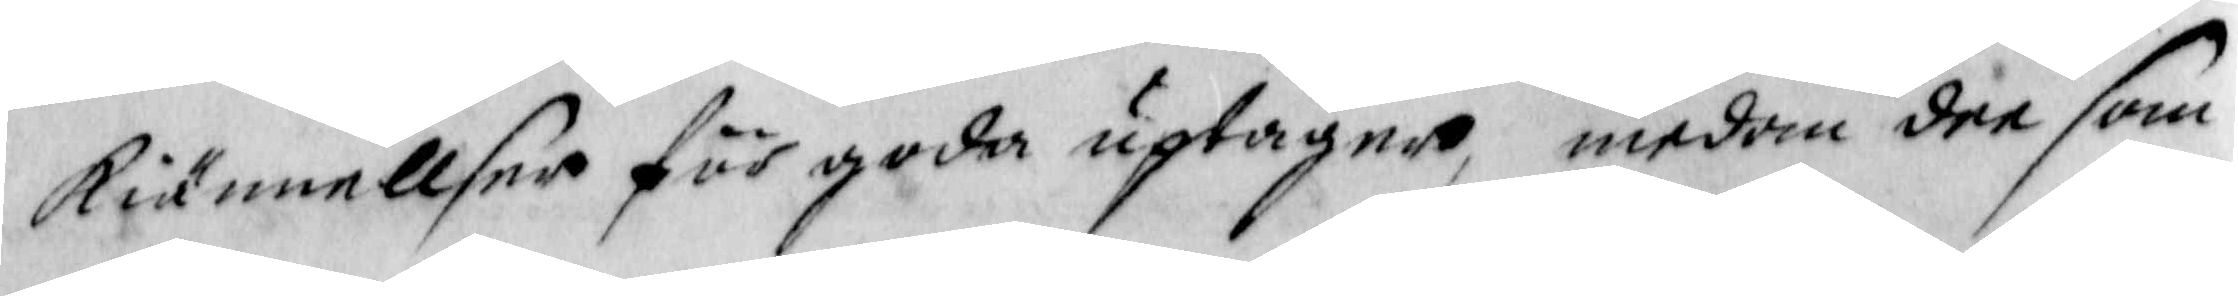kiännellser för goda uptagne, medan dee som
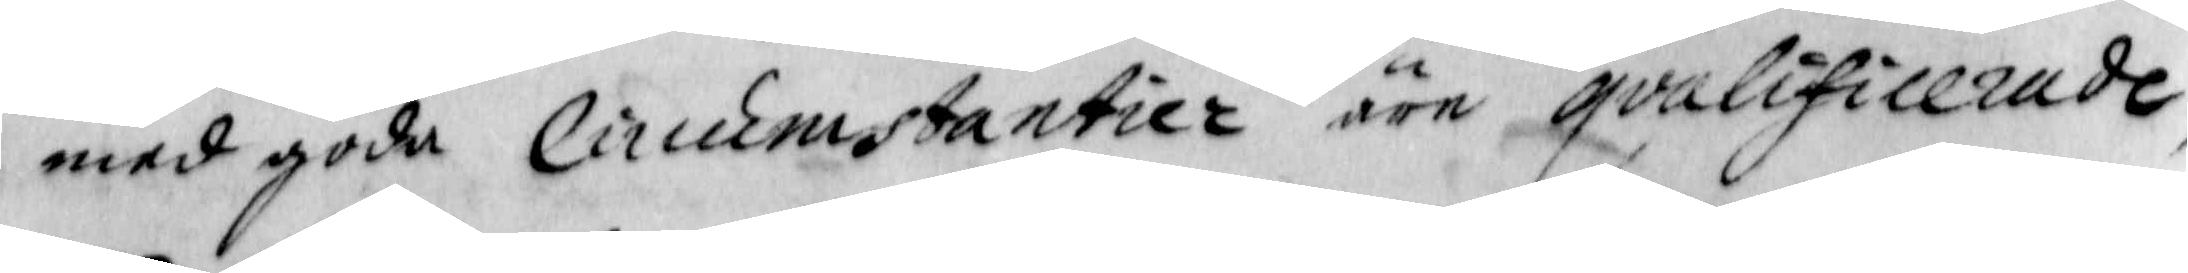med goda Circumstantier äre qvalificerade
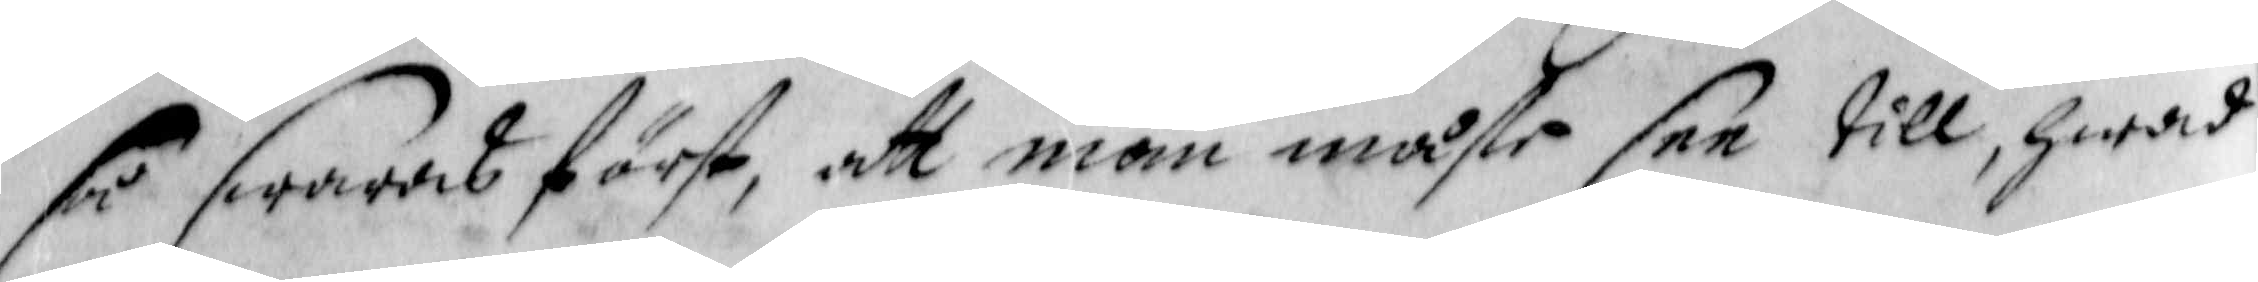så swaras först, att man måste see till, hwad
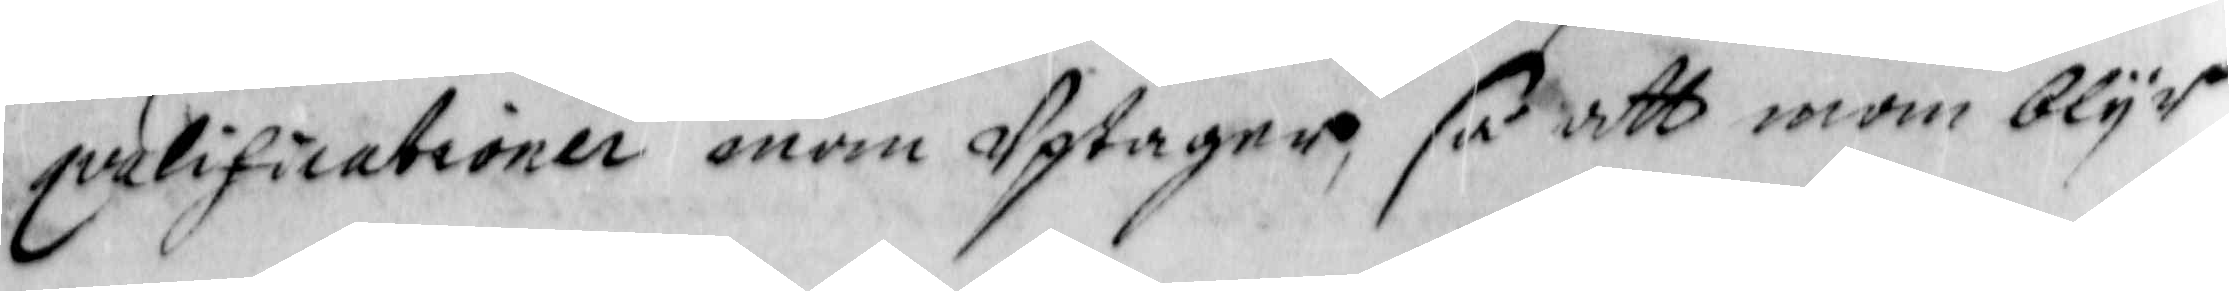qvalificationer man Uptagne, så att man blyr
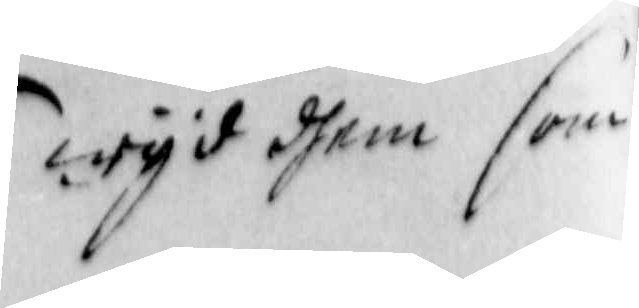wyd dhem som
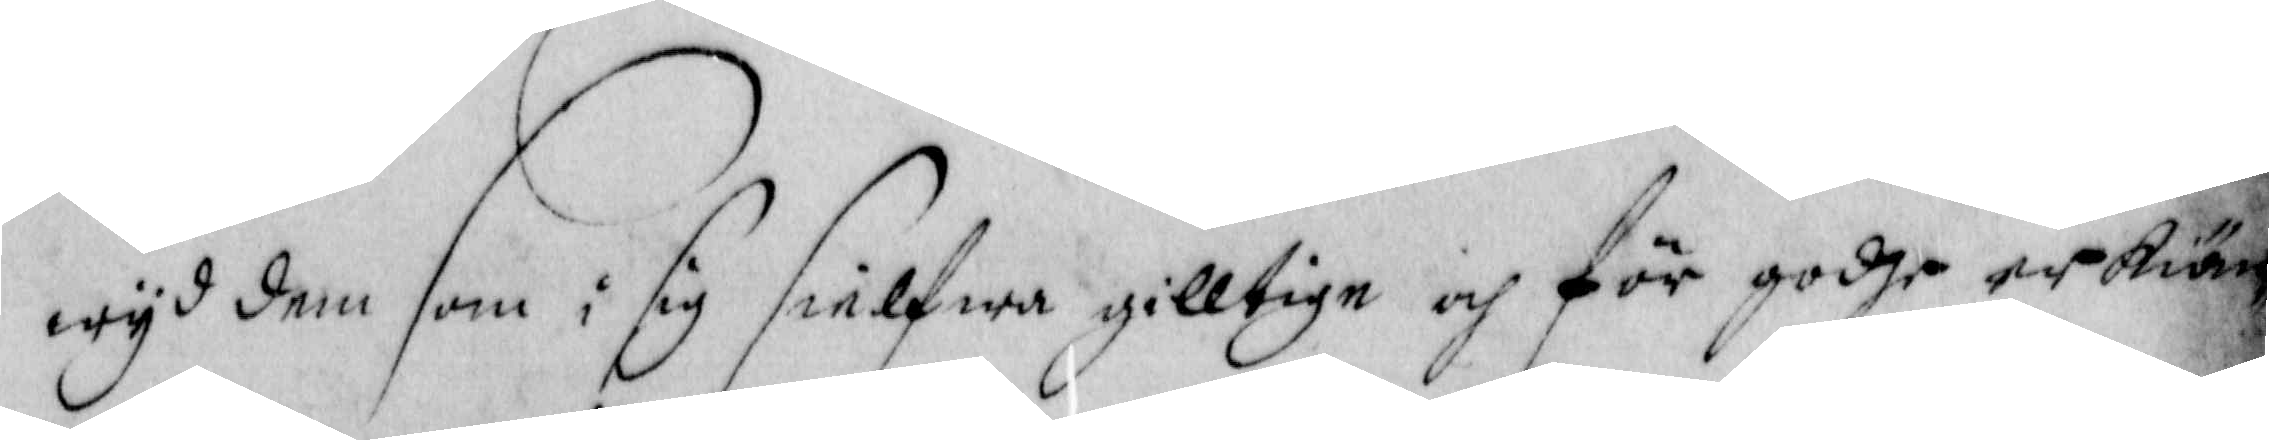wyd dem som i sig sielfwa gilltige och för godhe erkiän¬
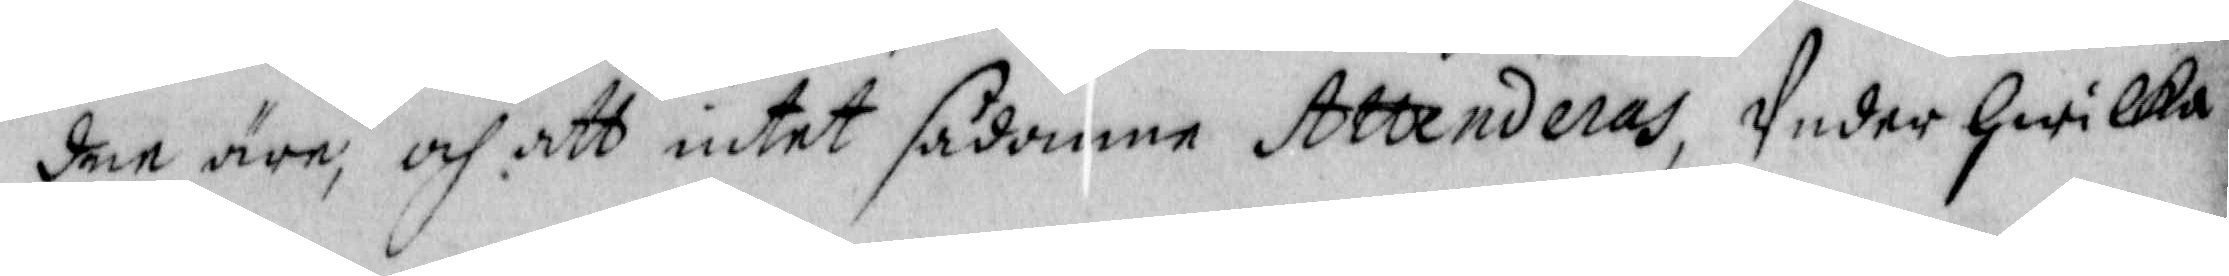den äre, och att intet sådanne Attenderas Under hwilka
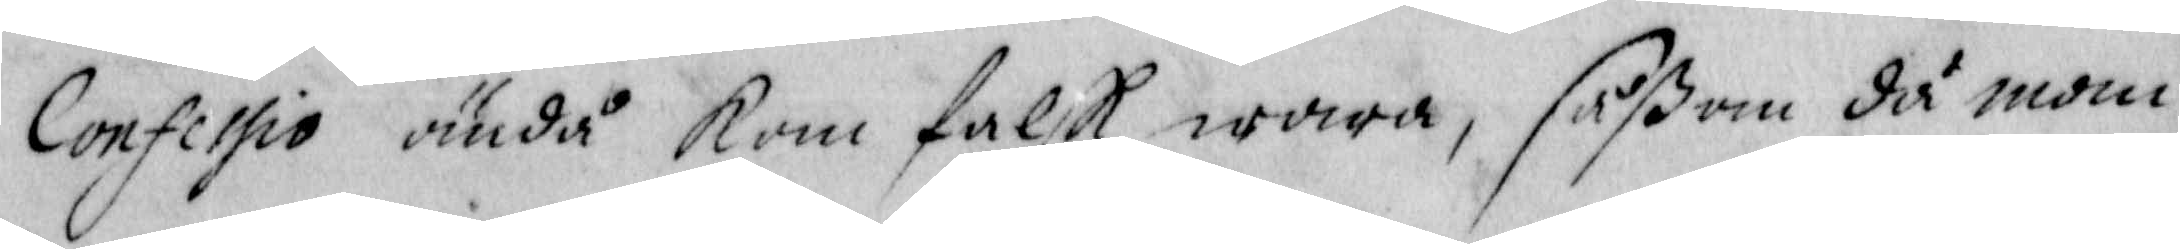Confessio ändå kan falsk wara, såßom då man
